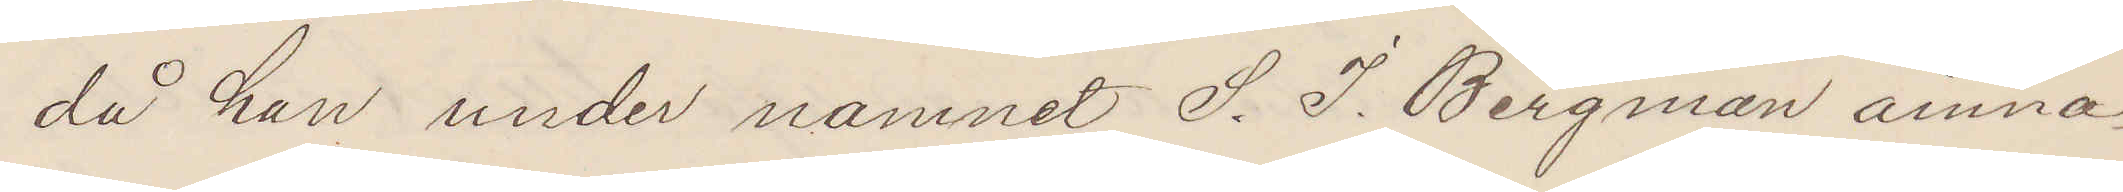då han under namnet S. J. Bergman ämna¬
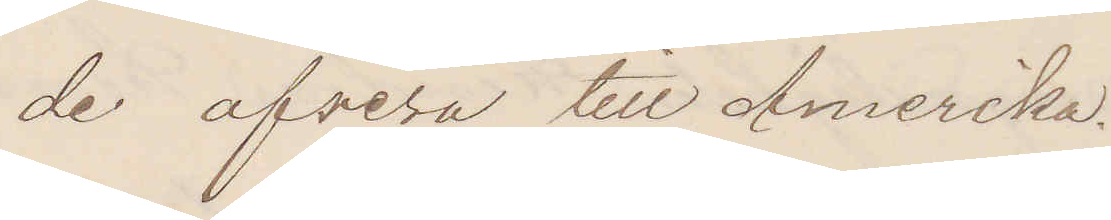de afresa till Amerika.
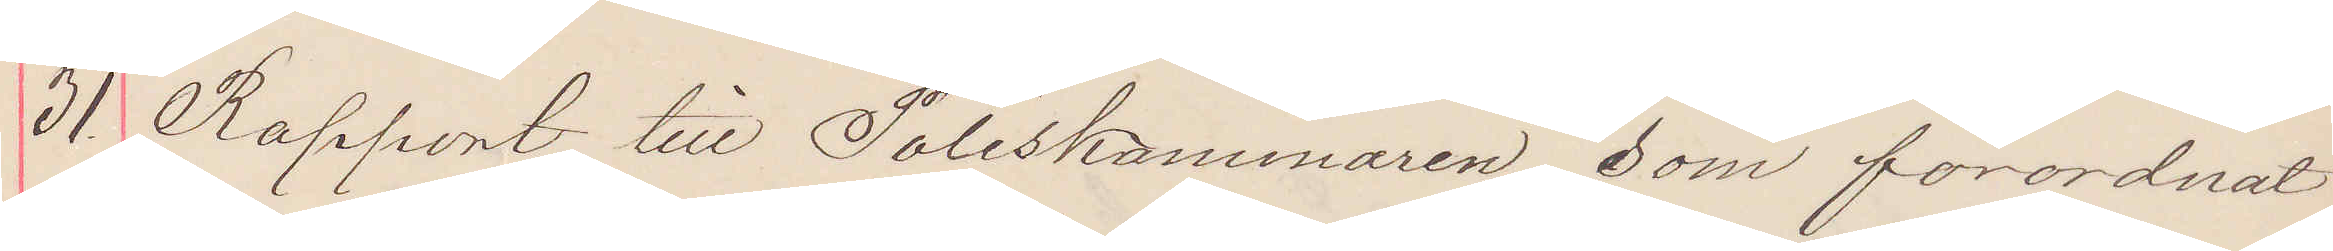31 rapport till Poliskammaren, som förordnat
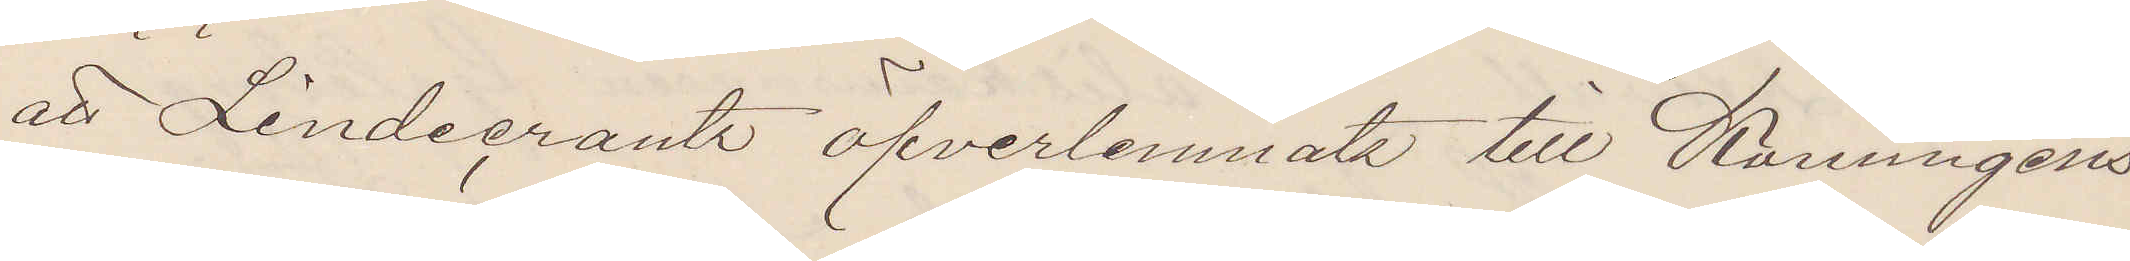att Lindecrantz öfverlemnats till Konungens
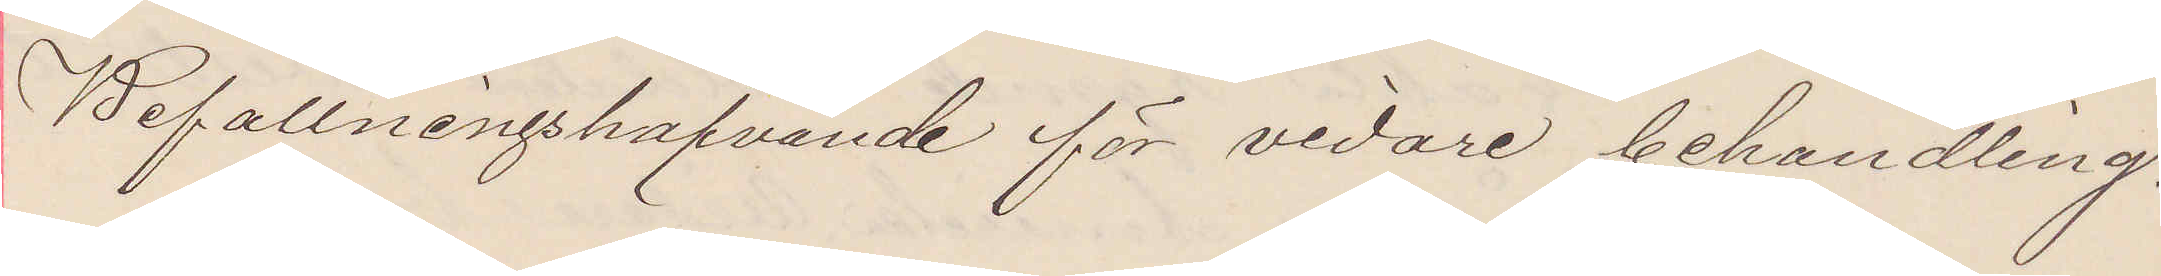Befallningshafvande för vidare behandling.
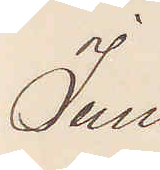Juni
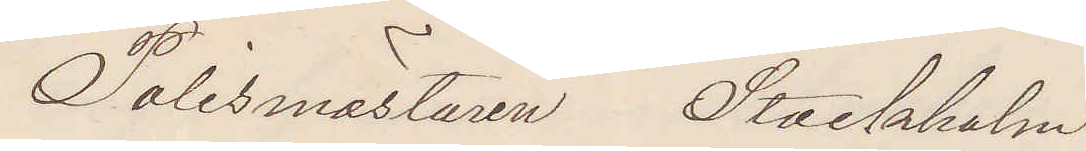Polismästaren Stockholm.
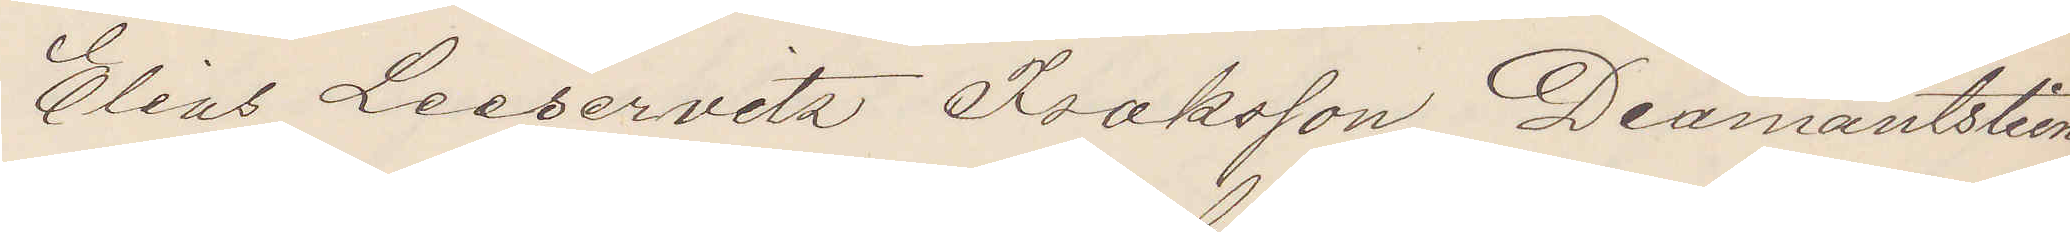Elias Leeservitz Isaksson Diamantstein
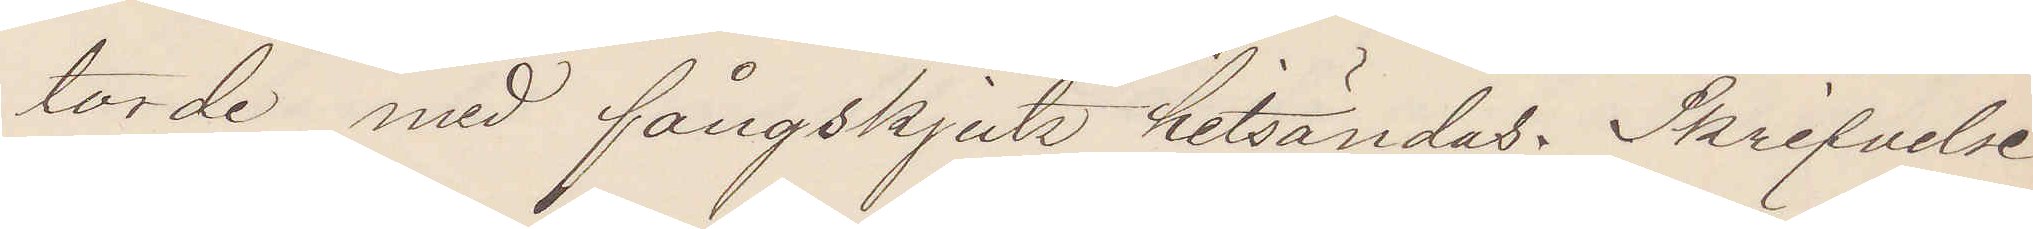torde med fångskjuts hitsändas. Skrifvelse
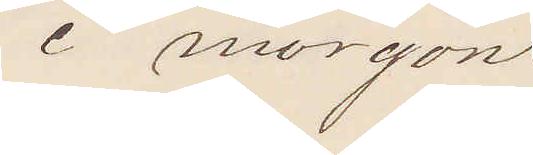i morgon.
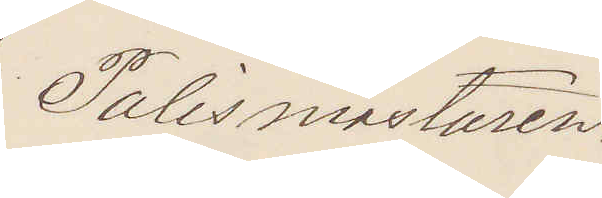Polismästaren.
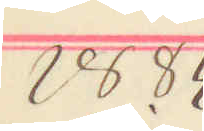1884
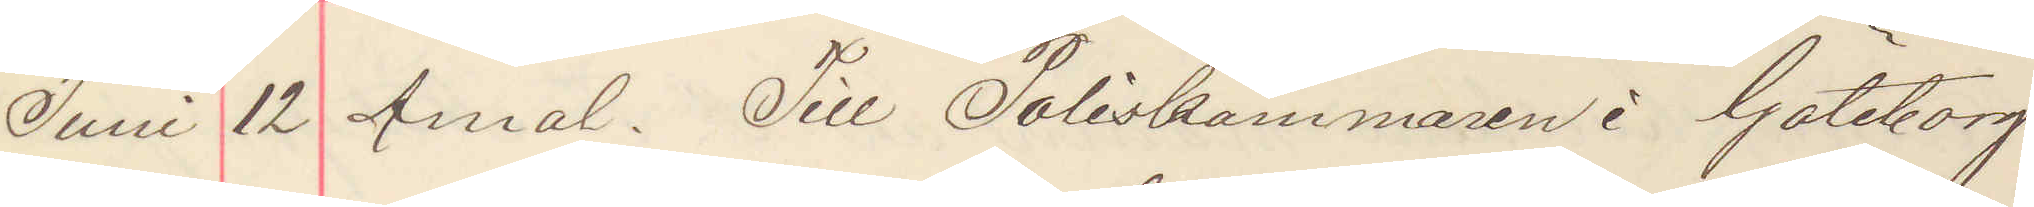JUni 12 Åmål. Till Poliskammaren i Göteborg.
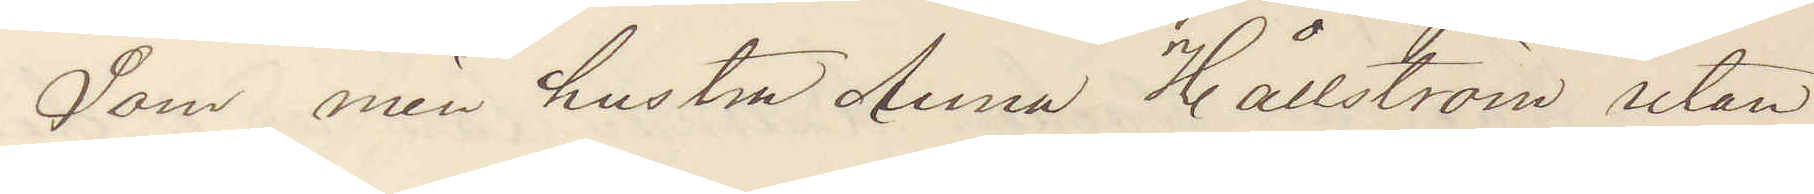Som min hustru Anna Hållström utan
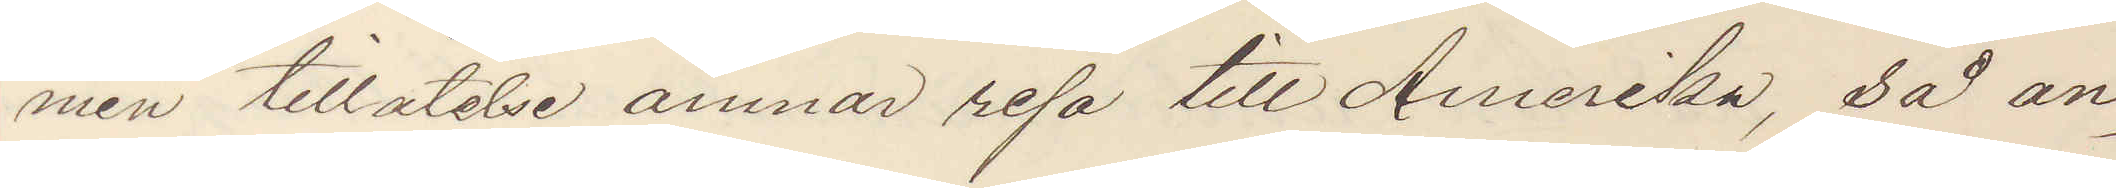min tillåtelse ämnar resa till Amerika, så an¬
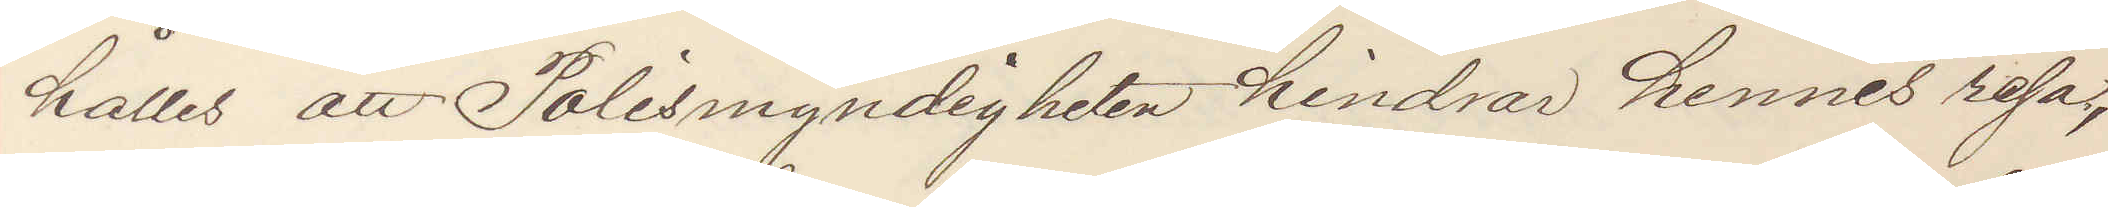hålles att Polismyndigheten hindrar hennes resa,
